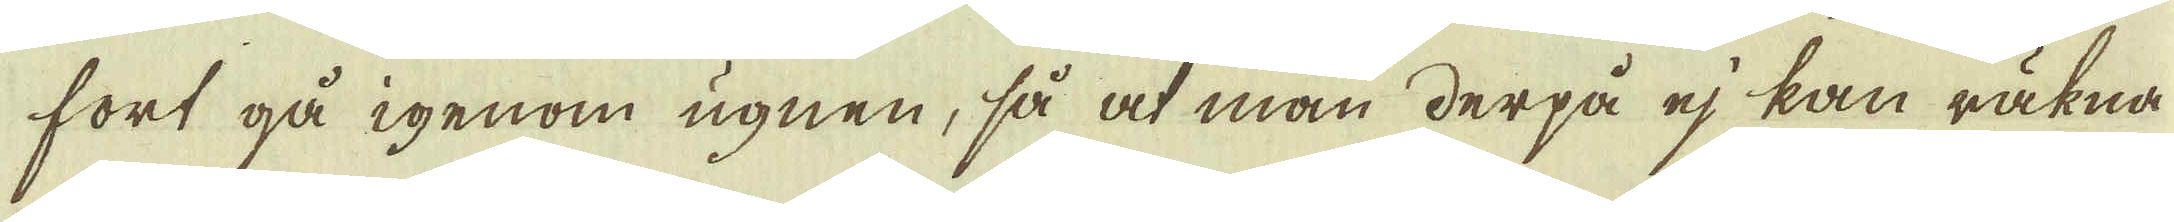fort gå igenom ugnen, så at man derpå ej kan räkna
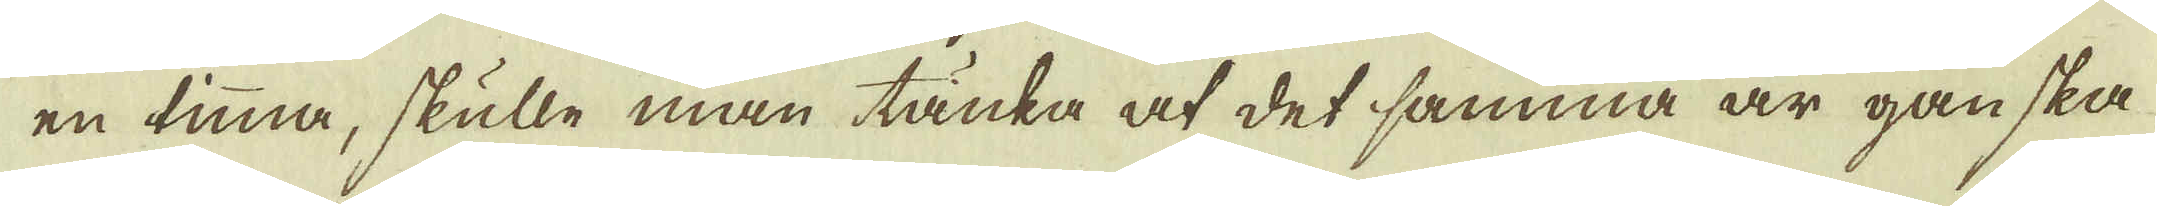en timma, skulle man tänka at det samma är ganska
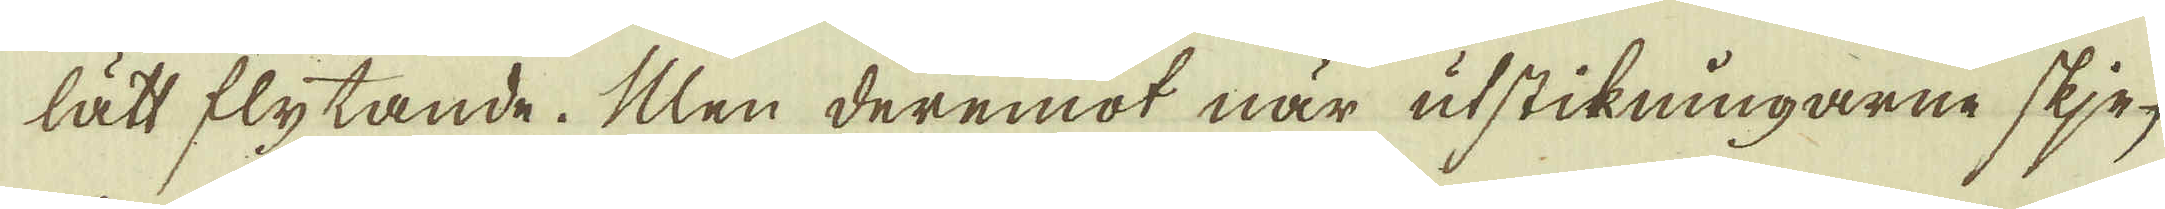lätt flytande. Men deremot när utstikningarne skje-
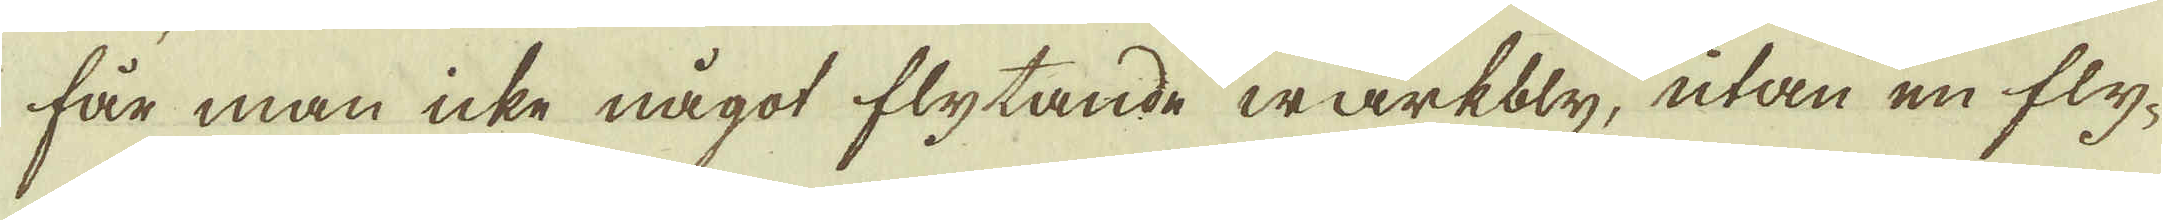får man icke något flytande wärkbly, utan en fly-
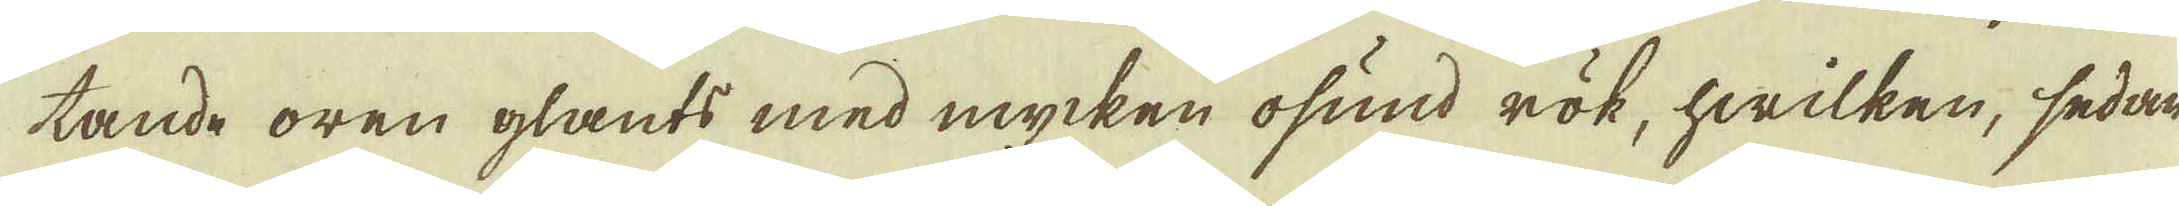tande oren glants med mycken ofund rök, hwilken, sedan
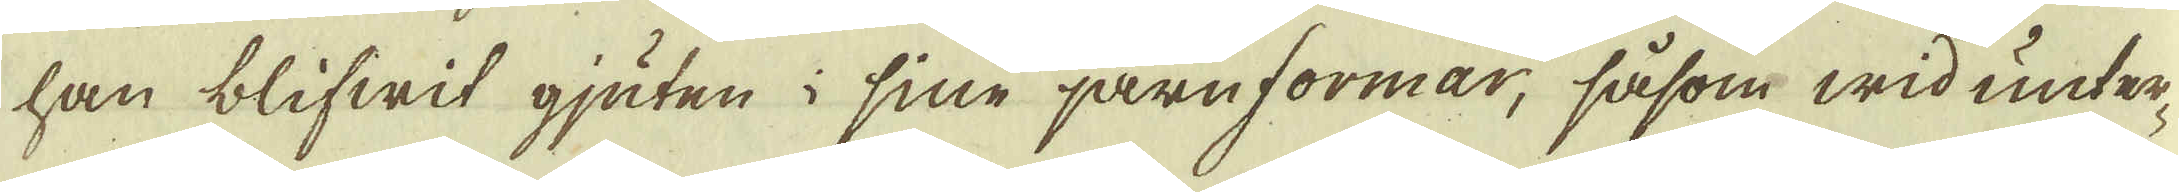han blifwit gjuten i sine järnformar, såsom wid unter-
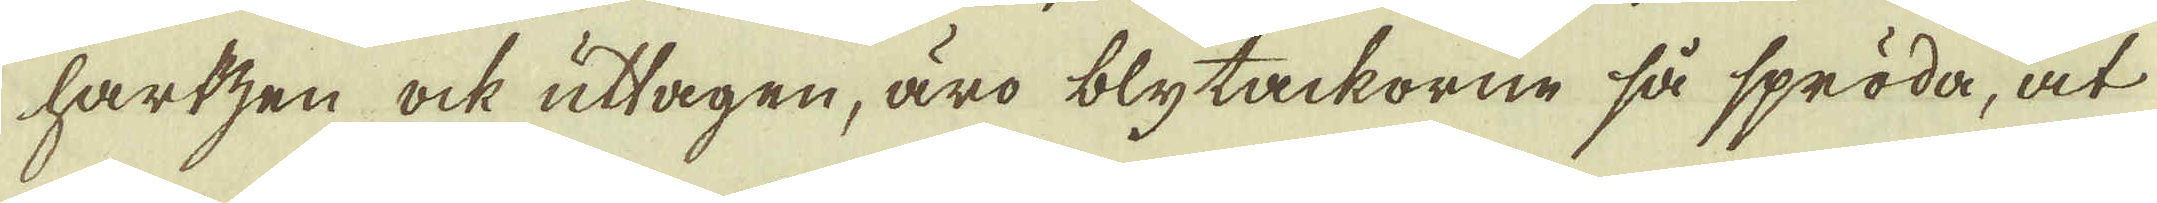hartzen ock uttagen, äro blytackorne så spröda, at
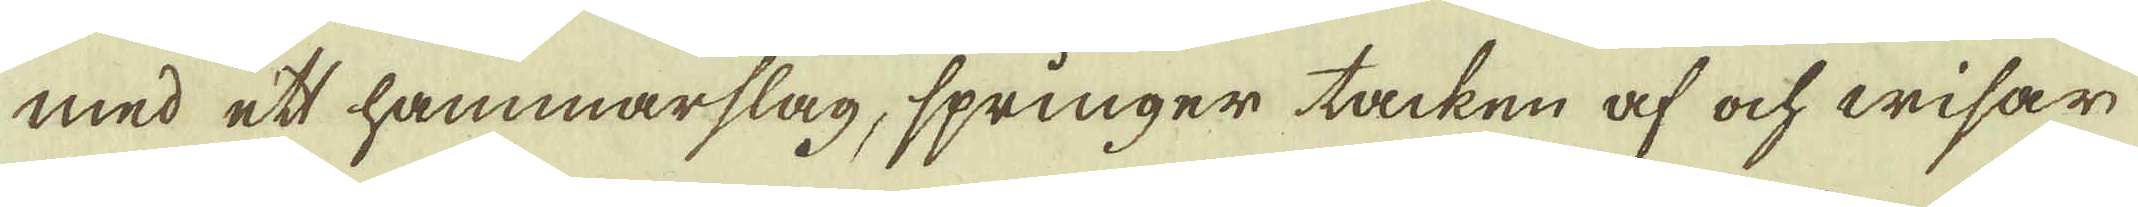med ett hammarslag, springer tacken af och wisar
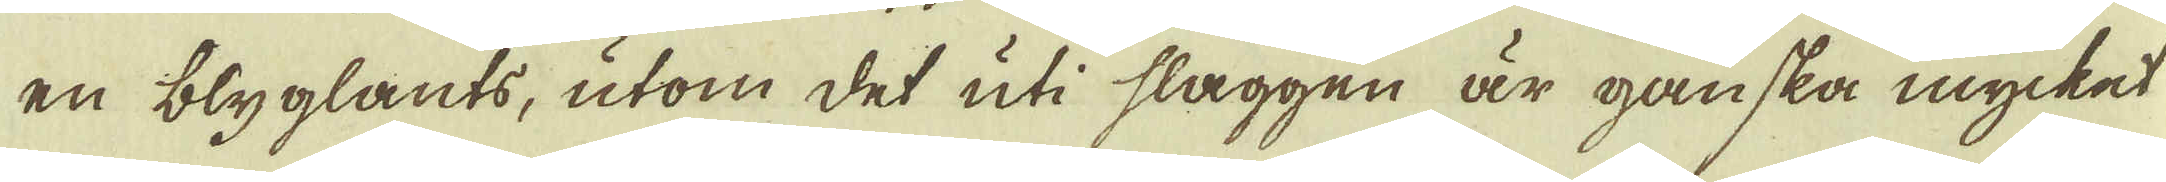en blyglants, utom det uti slaggen är ganska mycket
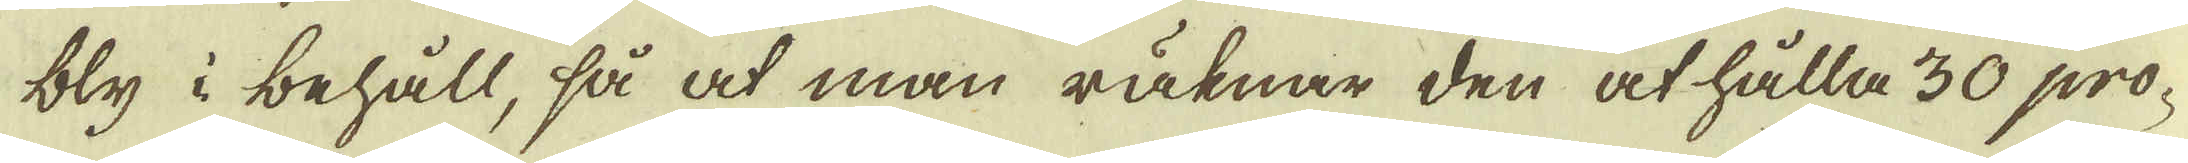bly i behåll, så at man räknar den at hålla 30 pro-
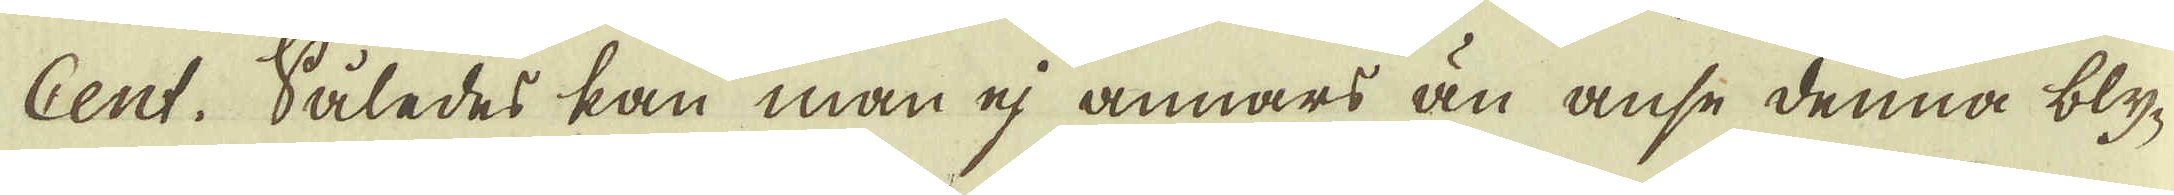Cent. Således kan man ej annars än anse denna bly-
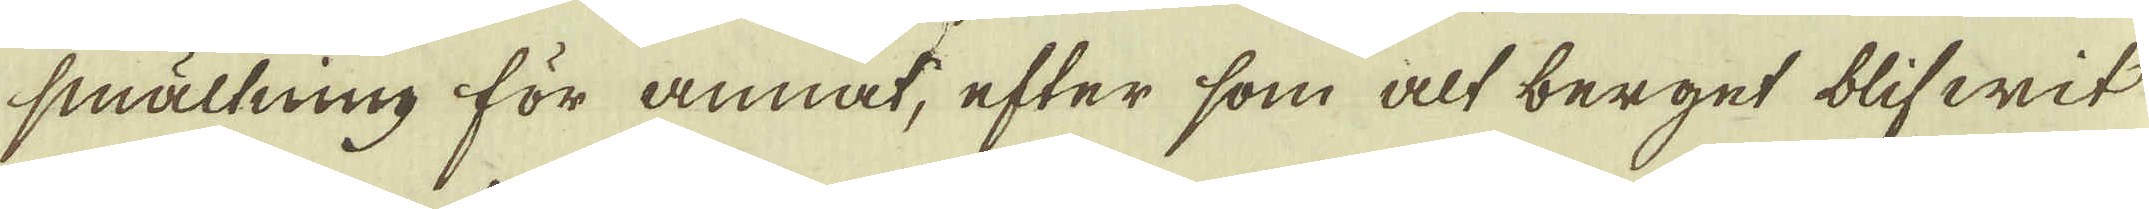smältning för annat, efter som alt berget blifwit
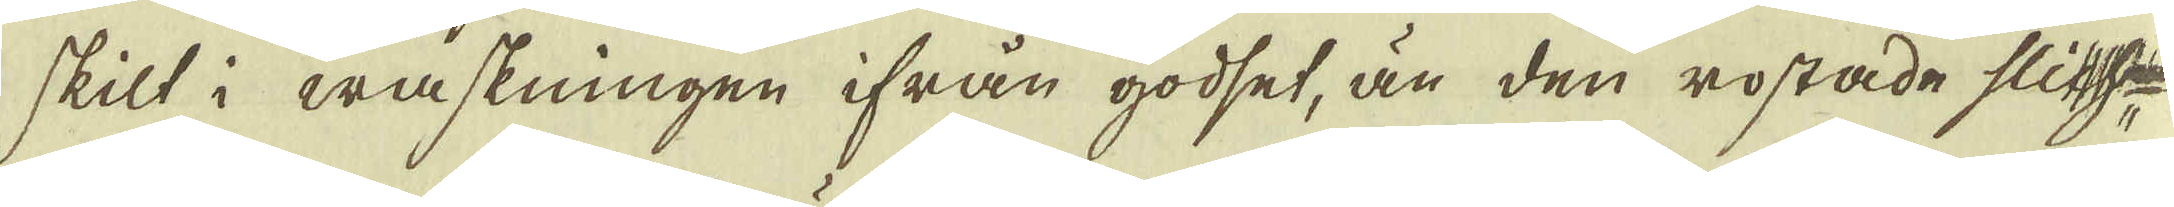skilt i waskningen ifrån godset, än den rostade slihfe
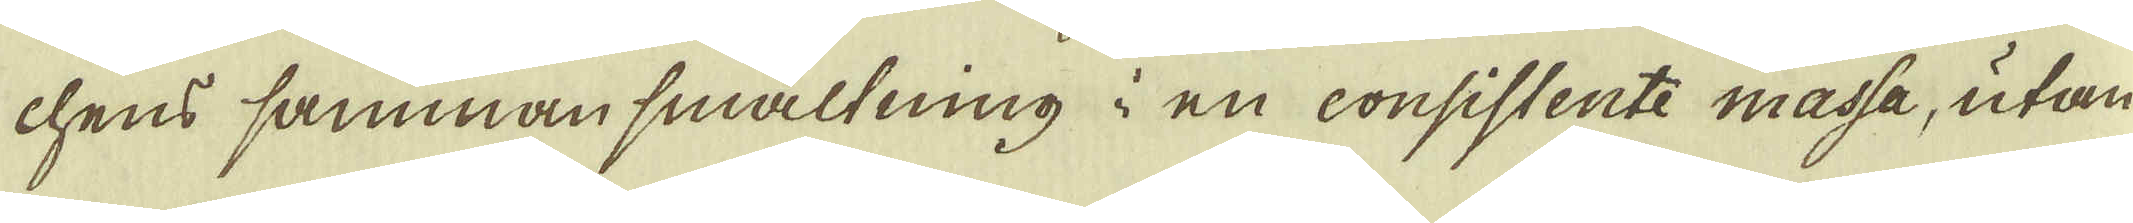chens sammansmältning i en consistente massa, utan
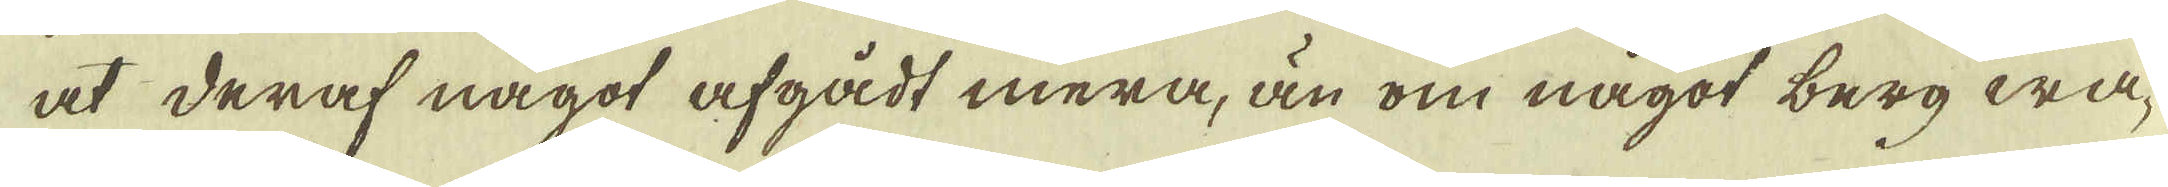at deraf något afgådt mera, än om något berg wa-
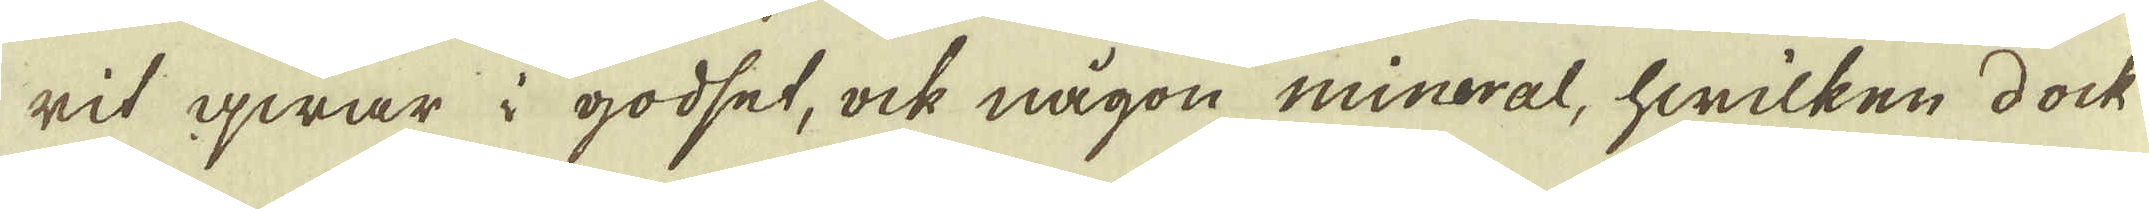rit qwar i godset, ock någon mineral, hwilken dock
